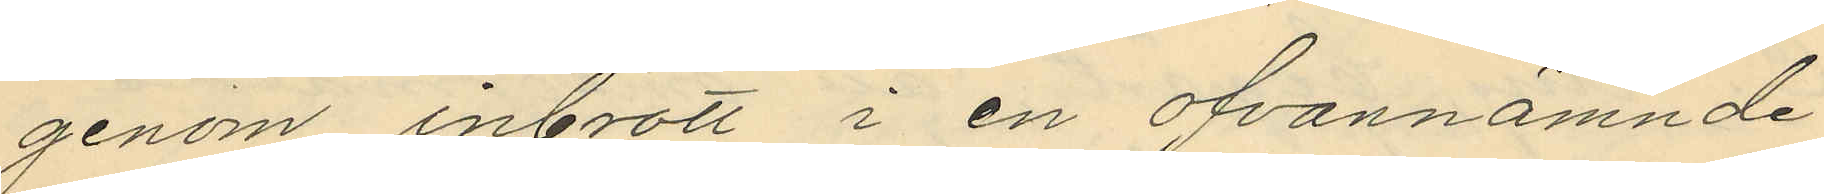genom inbrott i en ofvannämnde
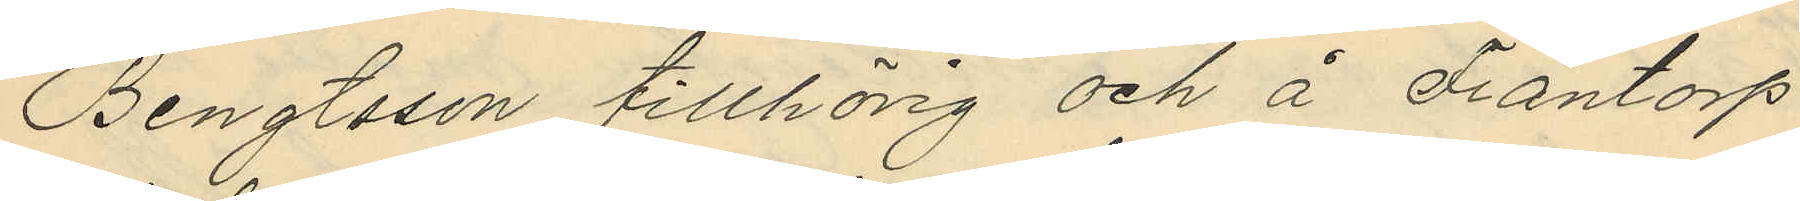Bengtsson tillhörig och å Fräntorp
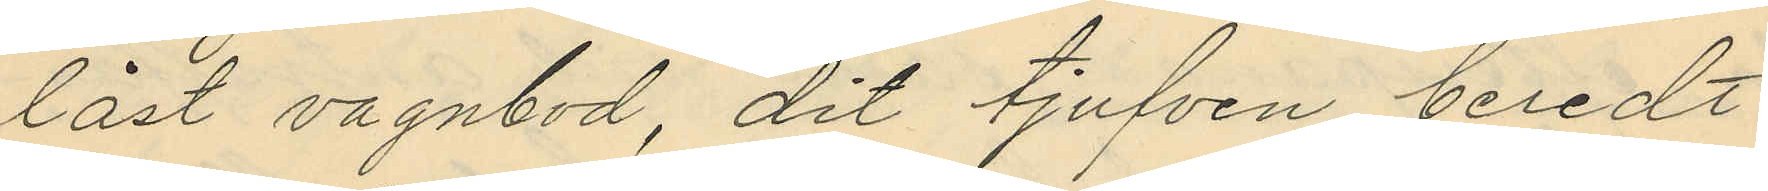låst vagnbod, dit tjufven beredt
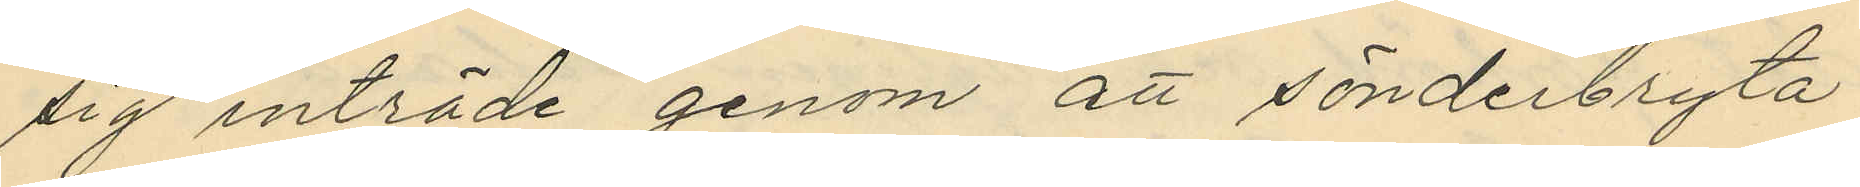sig inträde genom att sönderbryta
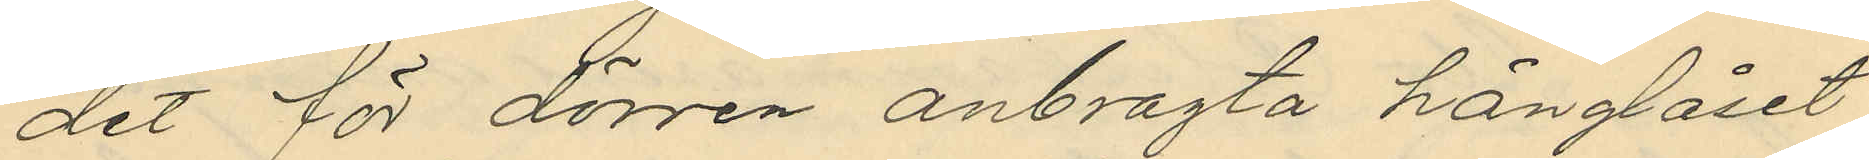det för dörren anbragta hänglåset,
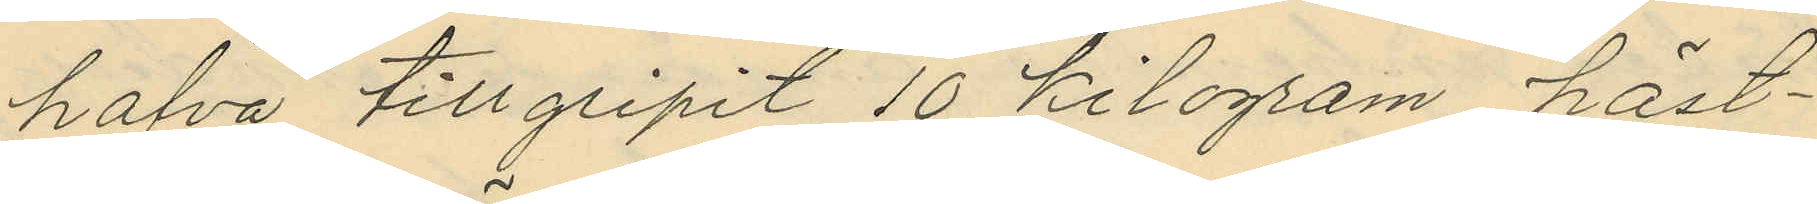hafva tillgripit 10 kilogram häst¬
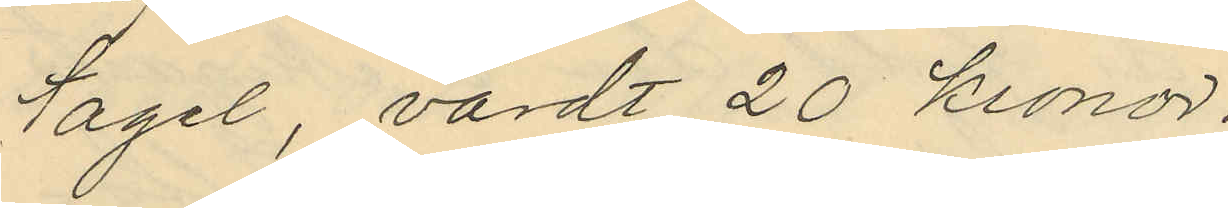tagel, värdt 20 kronor.
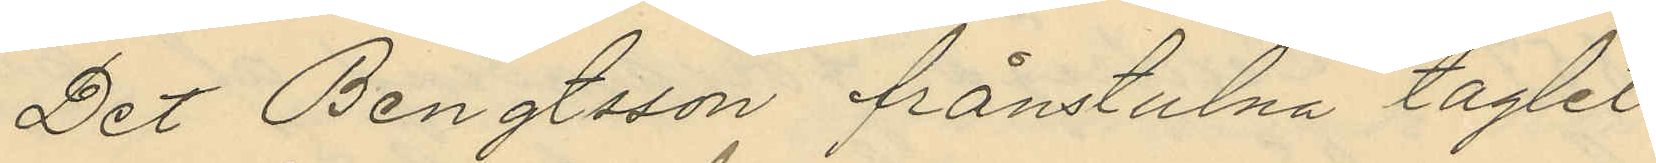Det Bengtsson frånstulna taglet
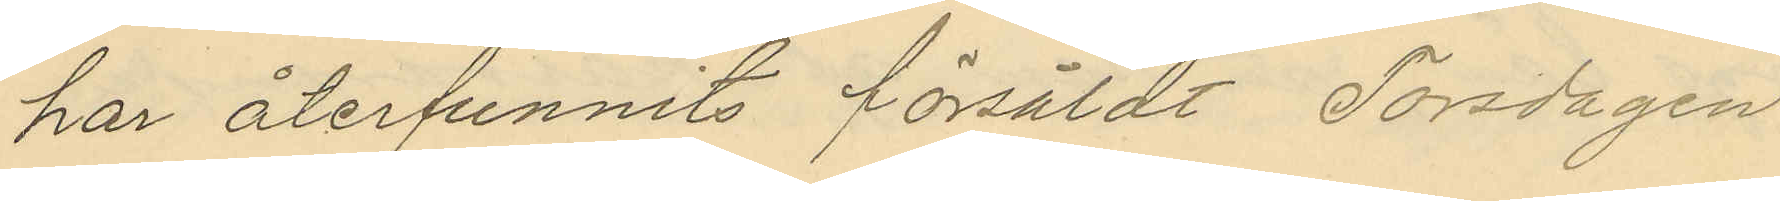har återfunnits försåldt Torsdagen
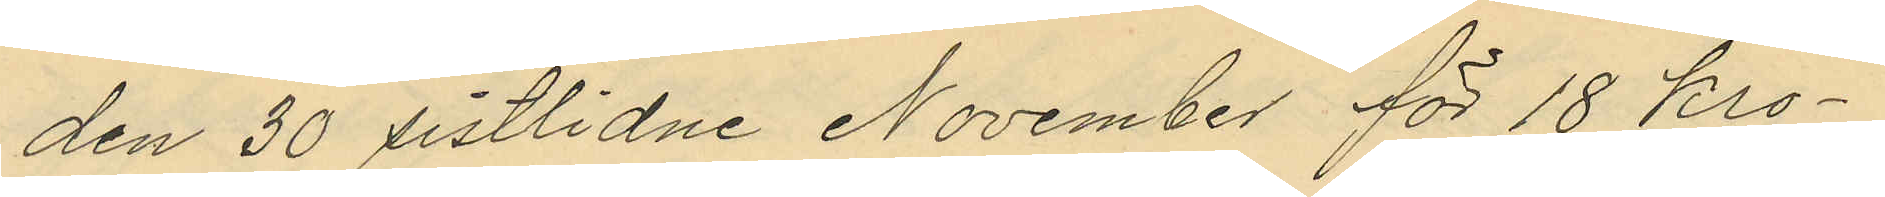den 30 sistlidne November för 18 kro¬
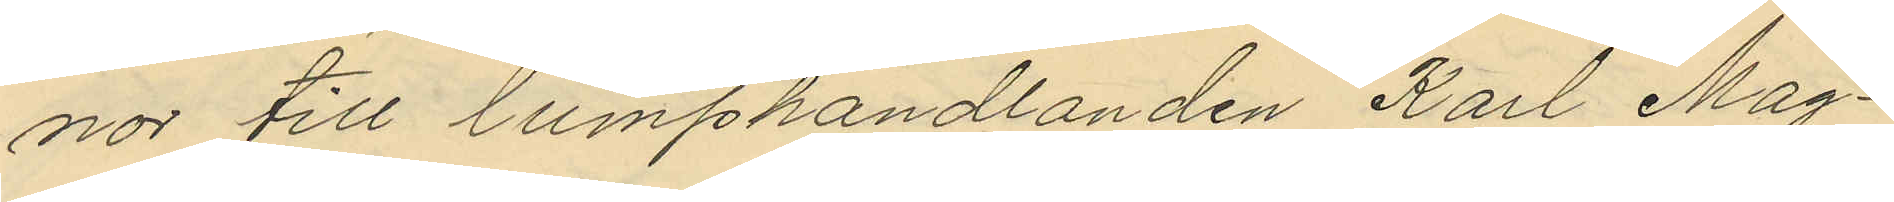nor till lumphandlanden Karl Mag¬
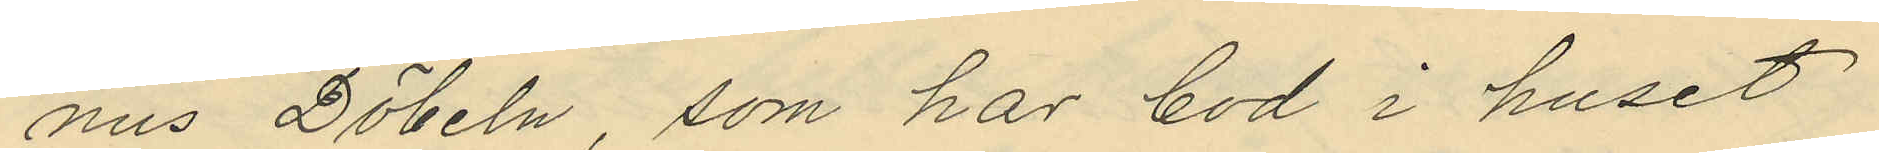nus Döbeln, som har bod i huset
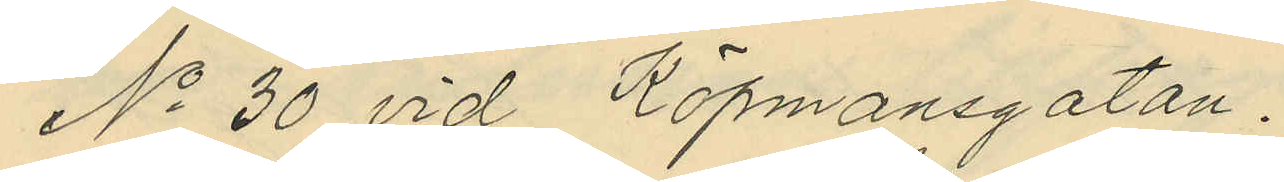No 30 vid Köpmansgatan.
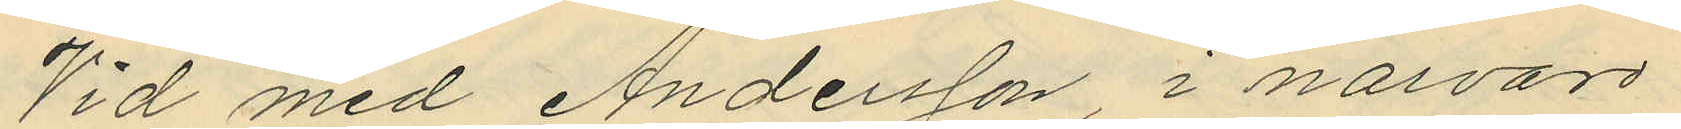Vid med Andersson, i närvaro
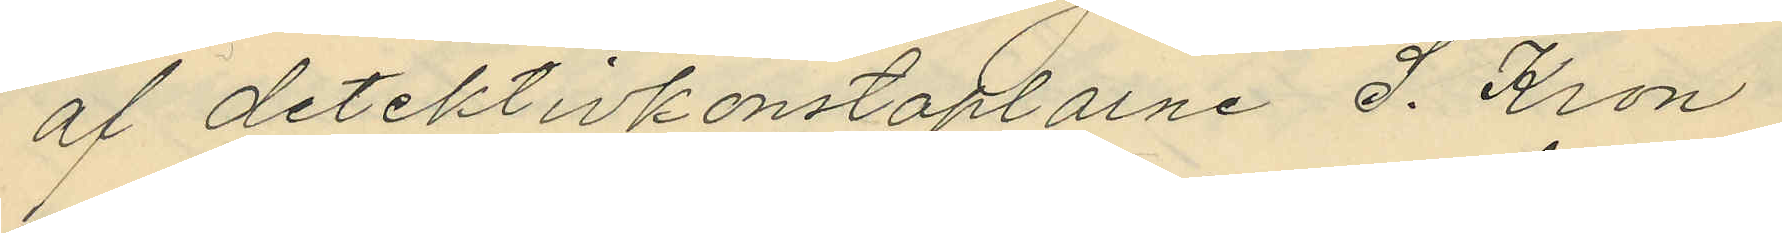af detektivkonstaplarne S. Kron
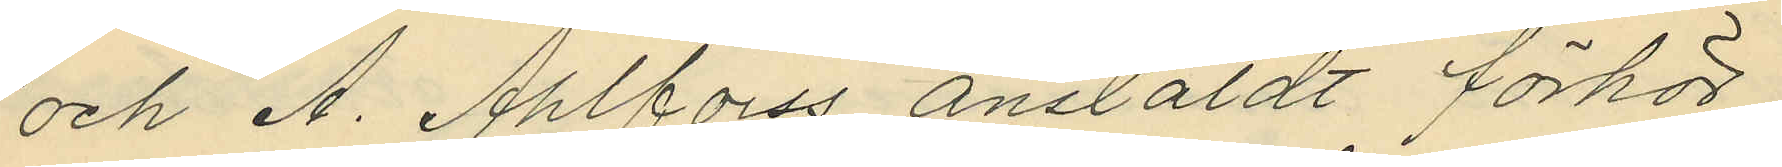och A. Ahlforss anstäldt förhör,
